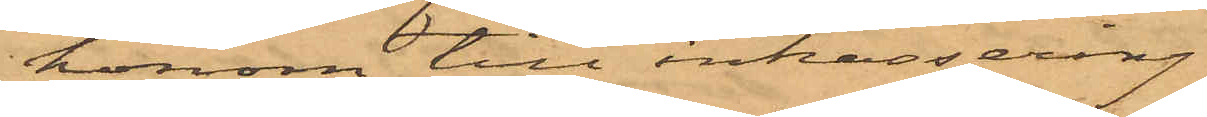honom till inkassering.
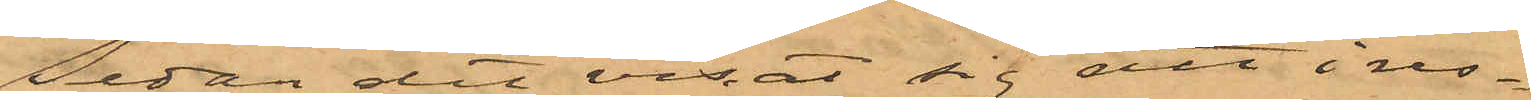Sedan det visat sig att i  res¬
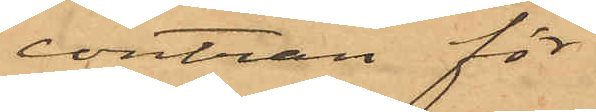contran för
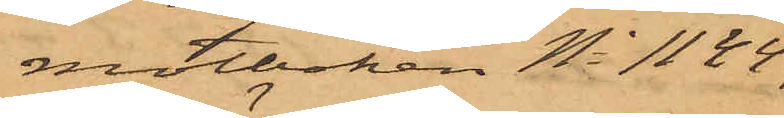motboken No 1144,
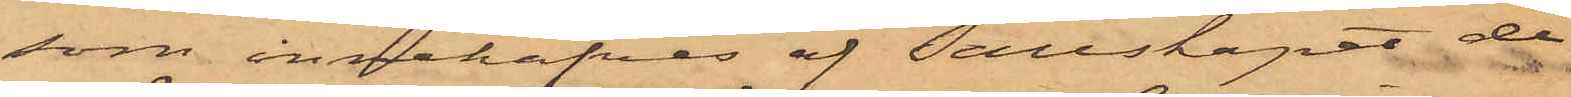som innehafves af Sällskapet de
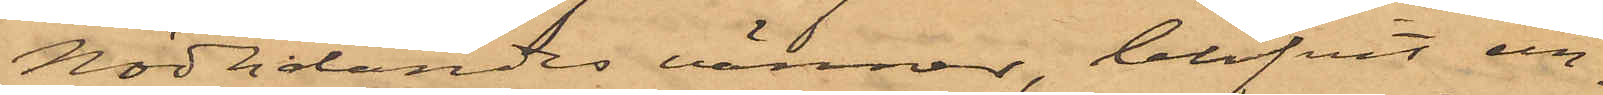Nödlidandes vänner, blifvit un¬
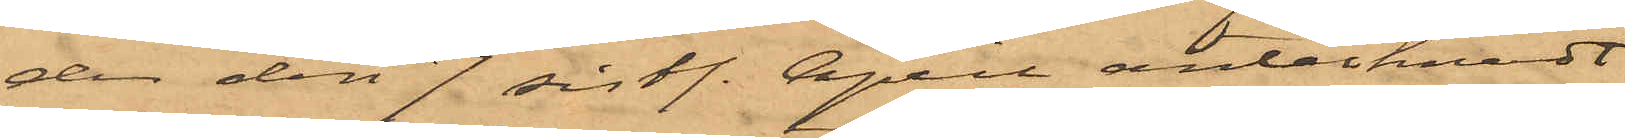der den 7 sist. April antecknadt
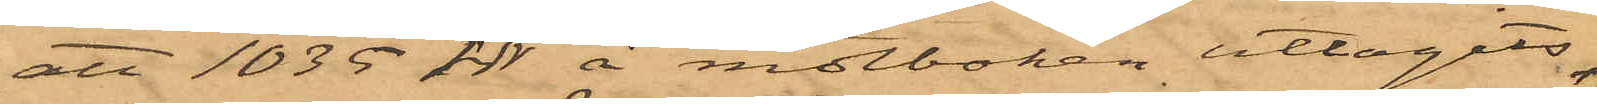att 1035 rdr å motboken uttagits
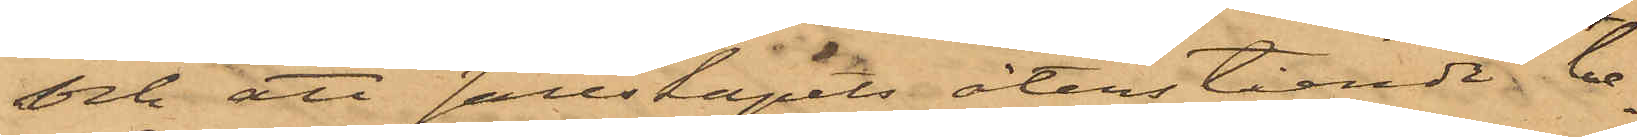och att Sällskapets återstående be¬
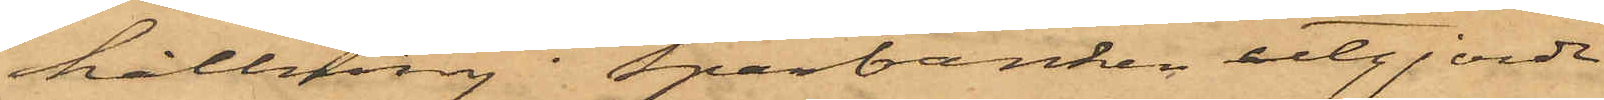hållning i Sparbanken utgjorde
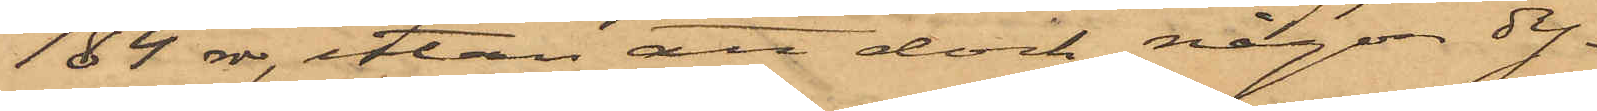184 rdr, utan att dock någon dy¬
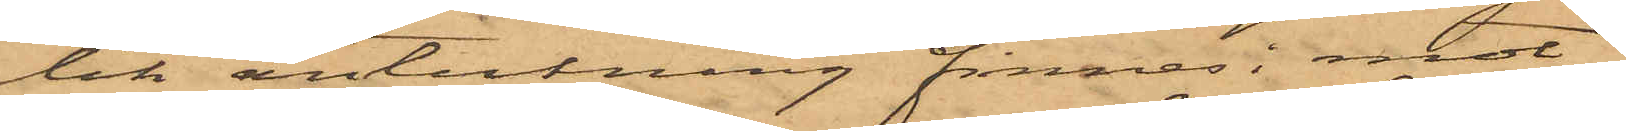lik anteckning finnes i mot¬
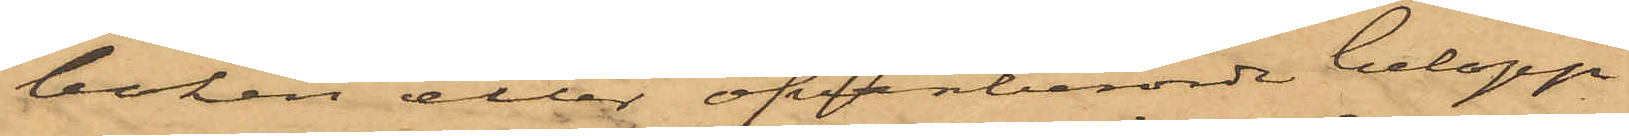boken eller ofvanberörde belopp
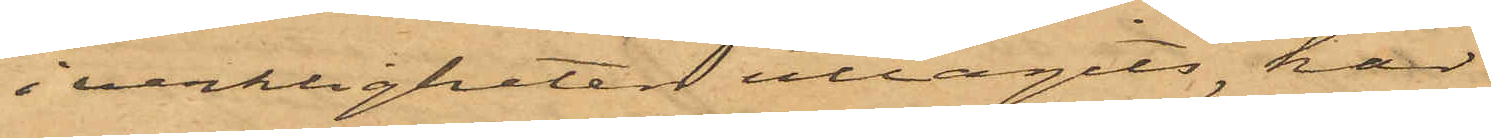i verkligheten uttagits, har
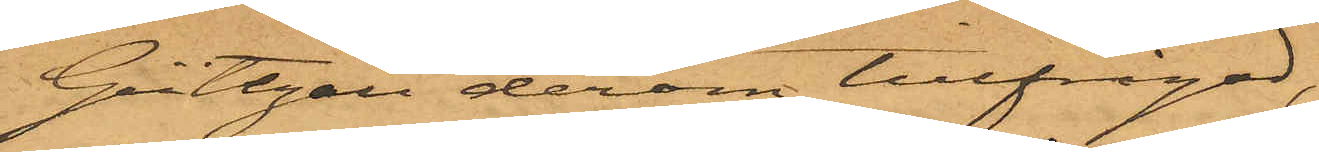Gültzau derom tillfrågad,
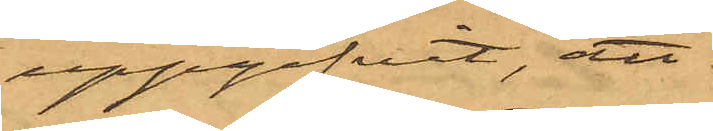uppgifvit, att
